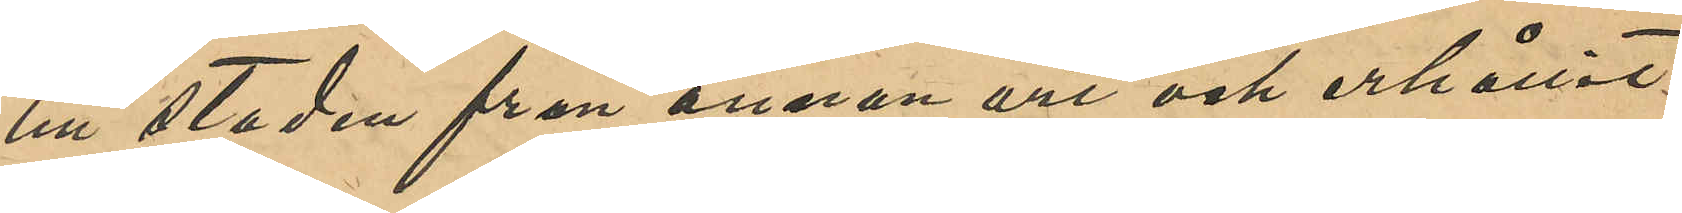till staden från annan ort och erhållit
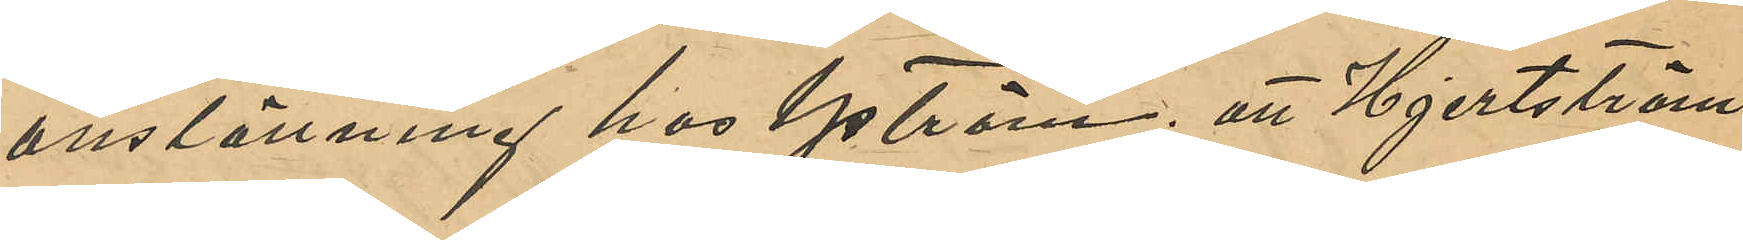anställning hos Yström; att Hjertström
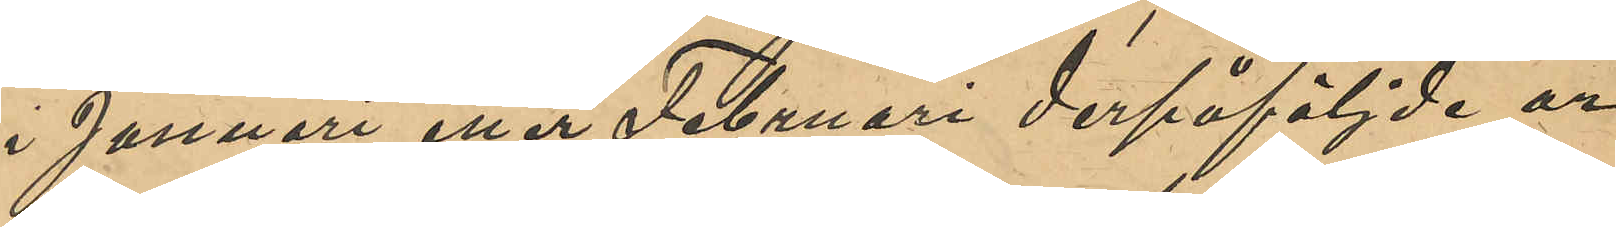i Januari eller Februari derpåföljde år
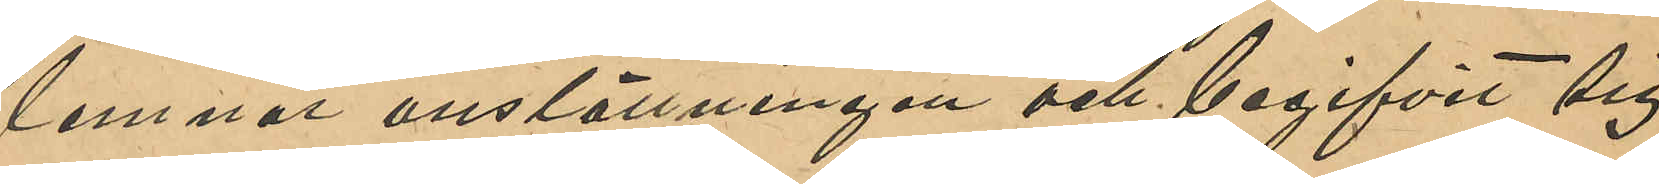lemnat anställningen och begifvit sig
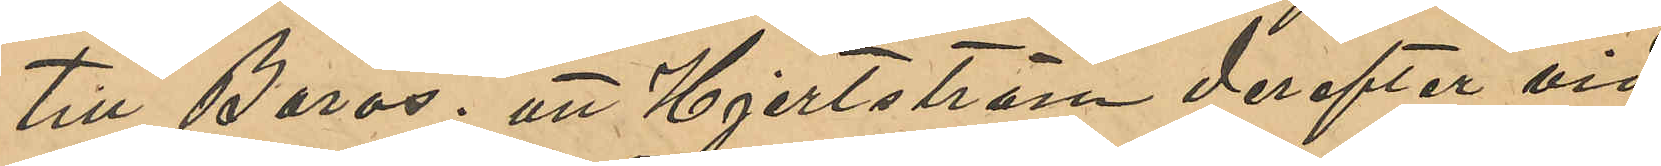till Borås; att Hjertström derefter vid
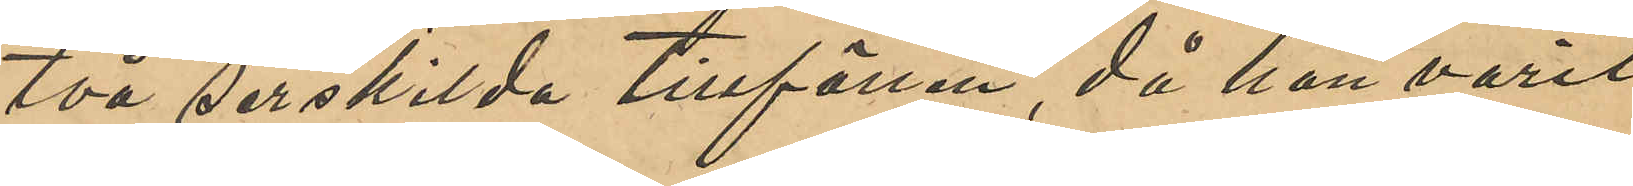två serskilda tillfällen, då han varit
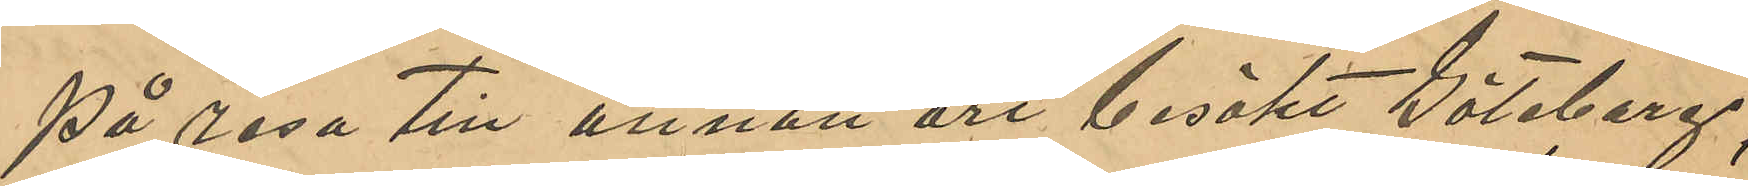på resa till annan ort besökt Göteborg;
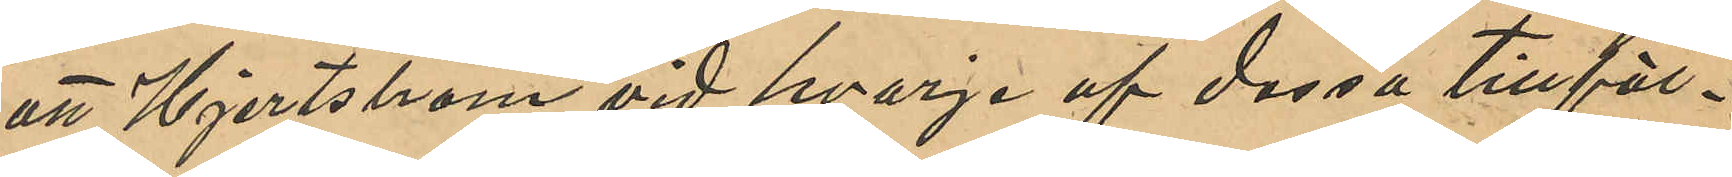att Hjertström vid hvarje af dessa tillfäl¬
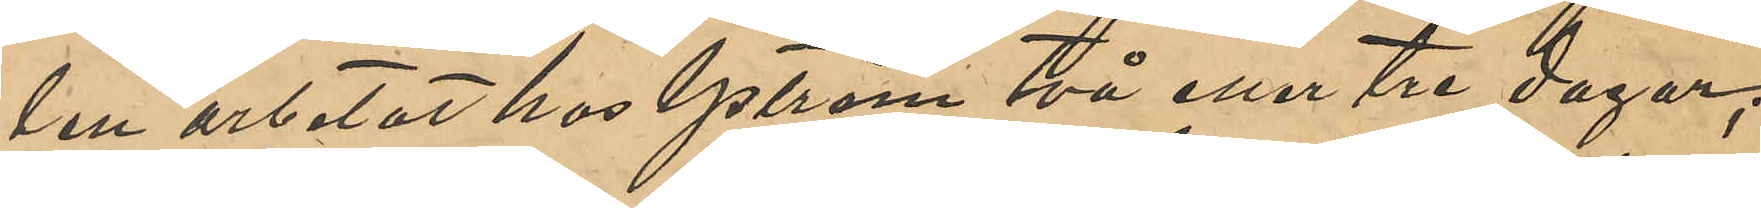len arbetat hos Yström två eller tre dagar;
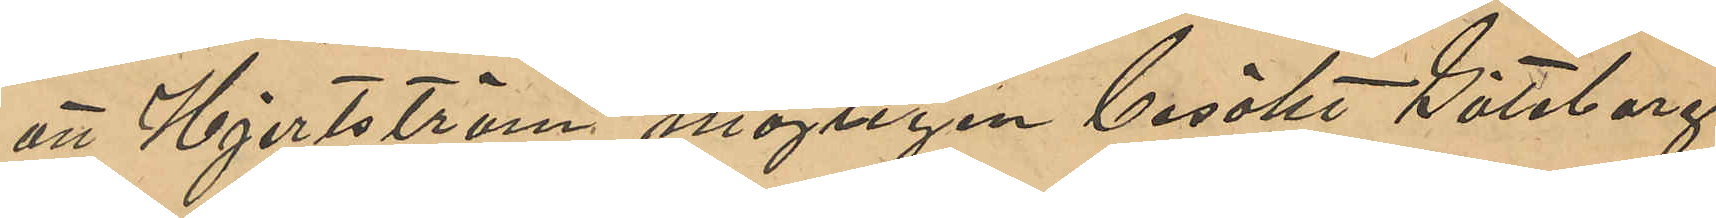att Hjertström möjligen besökt Göteborg
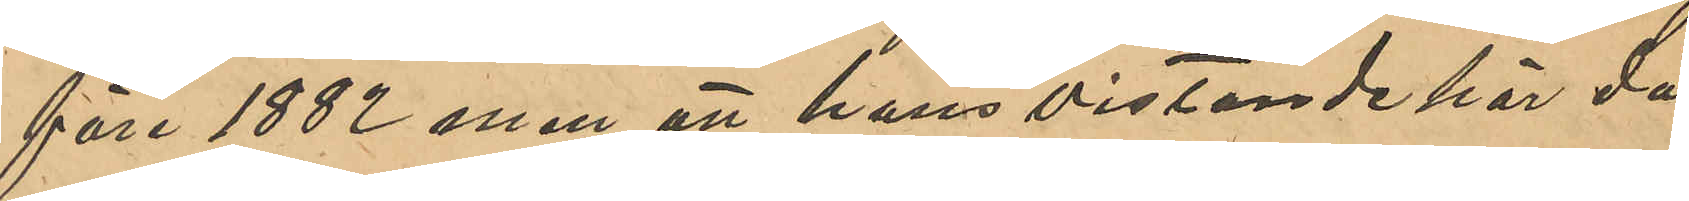före 1882 men att hans vistande här då
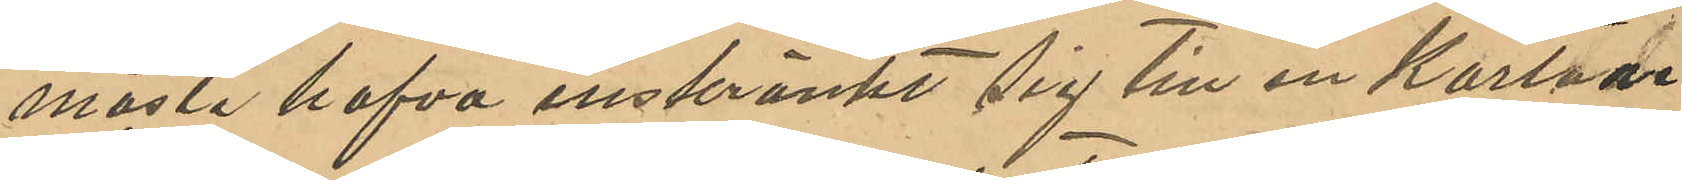måste hafva inskränkt sig till en kortare
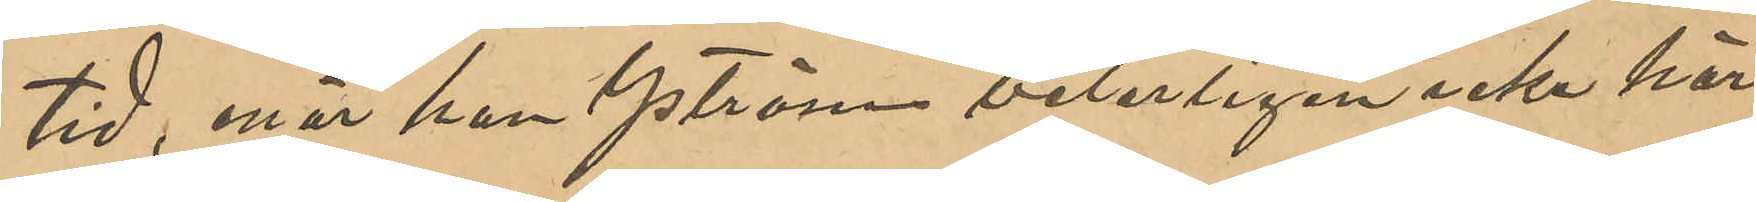tid, enär han Yström veterligen icke här
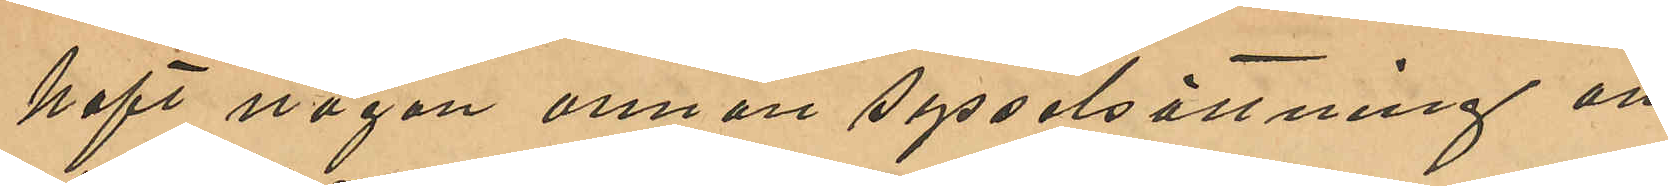haft någon annan sysselsättning än
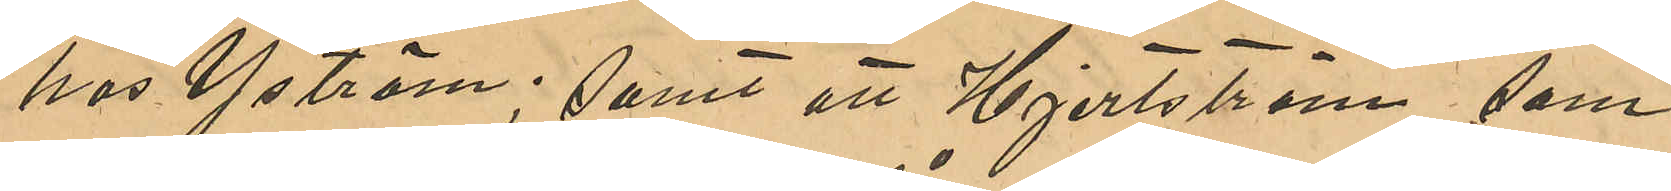hos Yström; samt att Hjertström, som
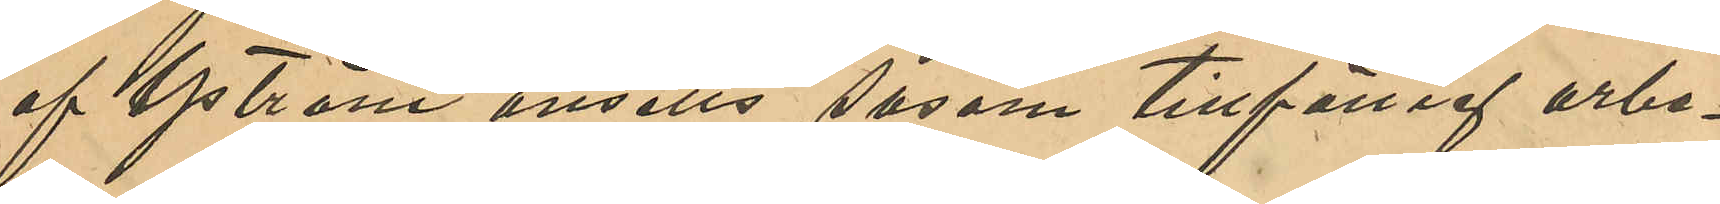af Yström ansetts såsom tillfällig arbe¬
